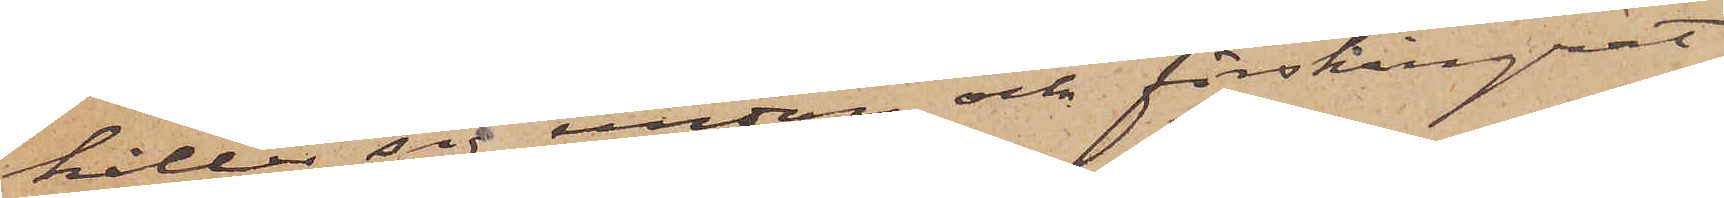håller sig undan och förskingrat
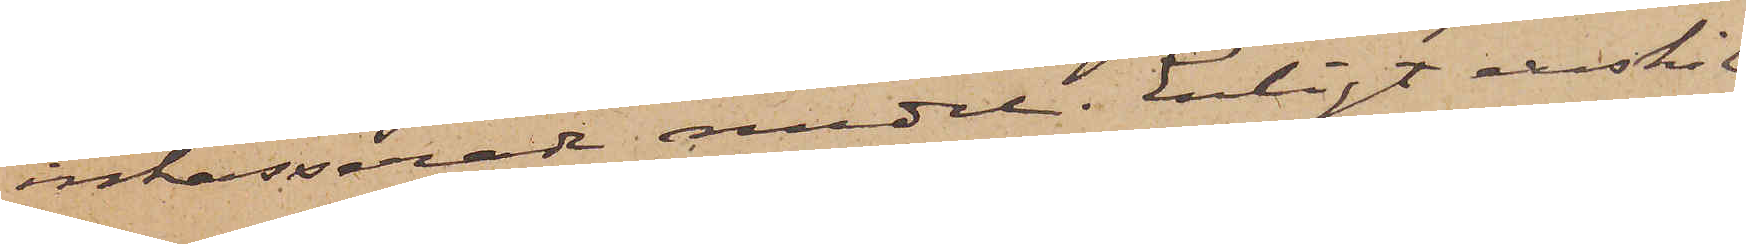inkasserade medel. Enligt enskil¬
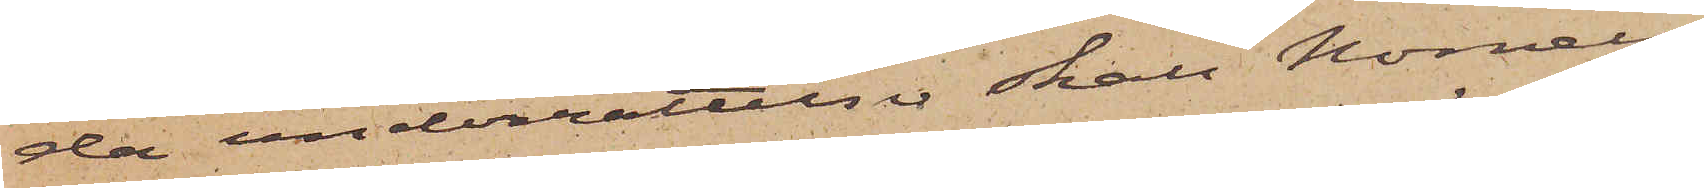da underrättelser skall Nornell
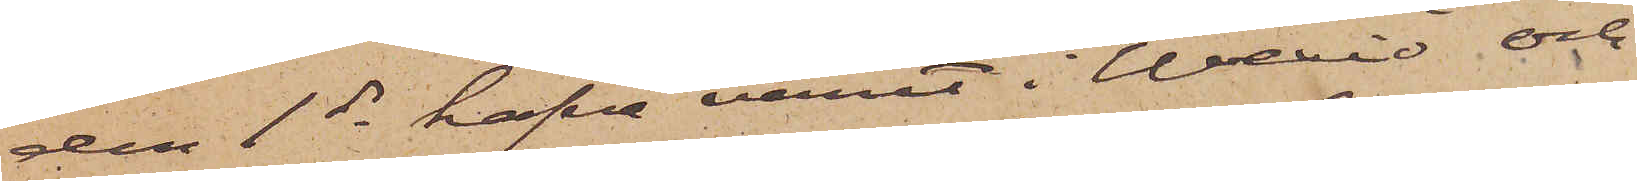den 1 ds hafva varit i Wexsiö och
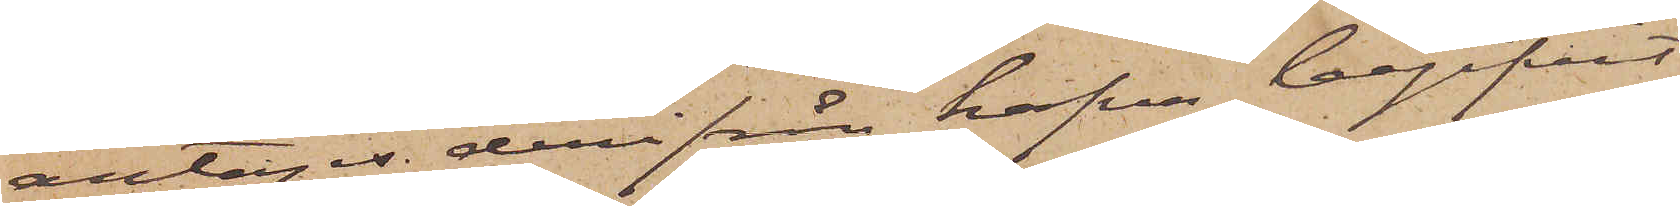antages derifrån hafva begifvit
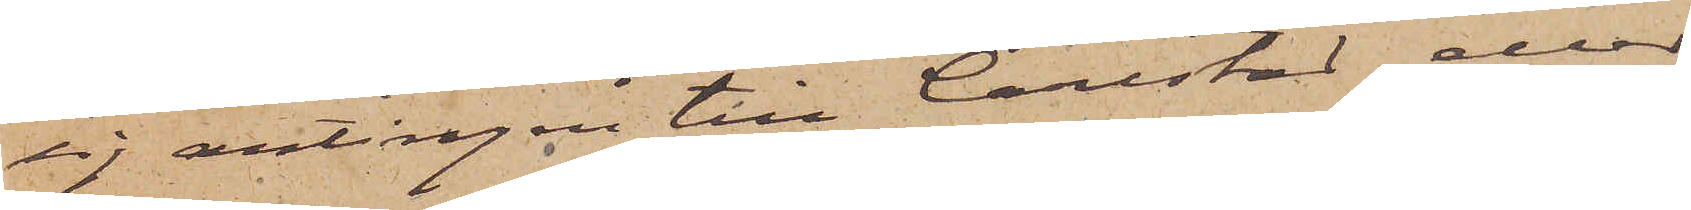sig antingen till Carlstad eller
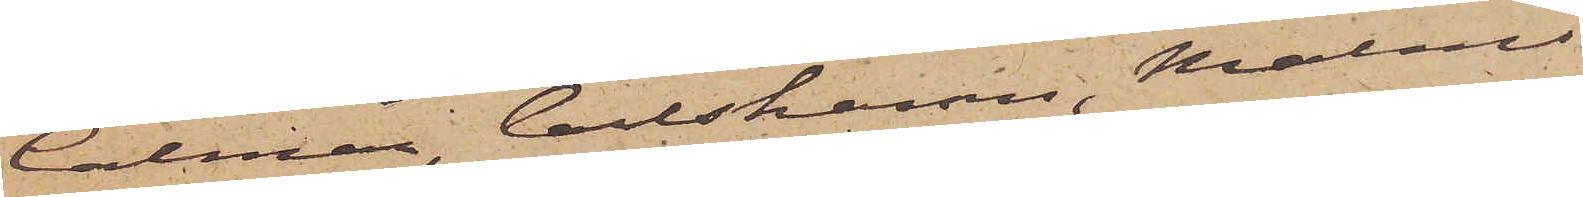Calmar, Carlshamn, Malmö
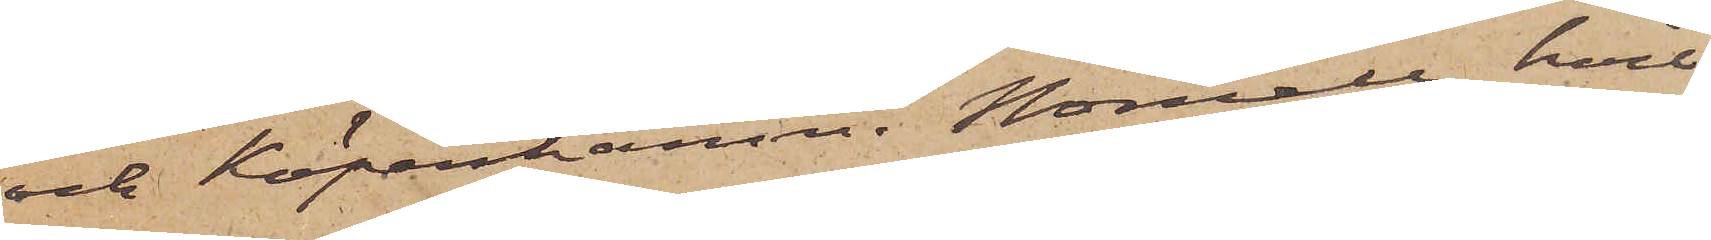och Köpenhamn. Nornell, hvil¬
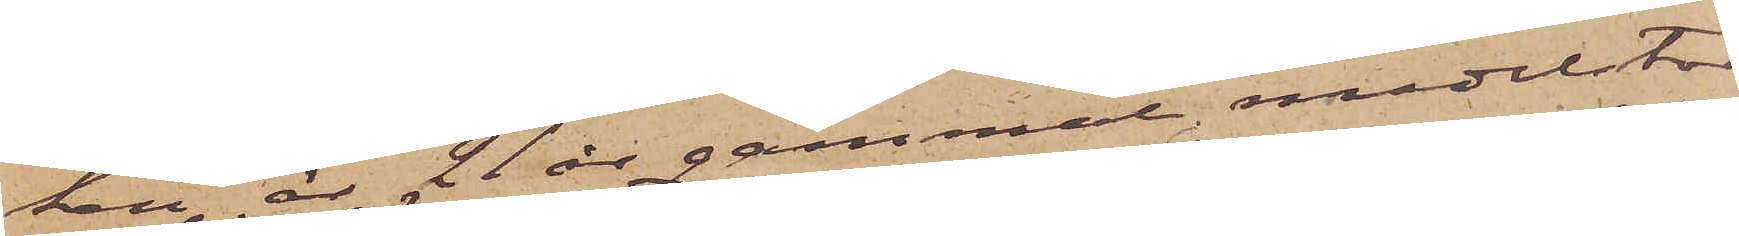ken är 21 år gammal medelstor
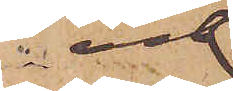och
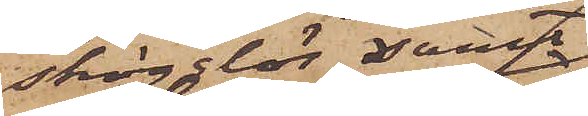skägglös samt
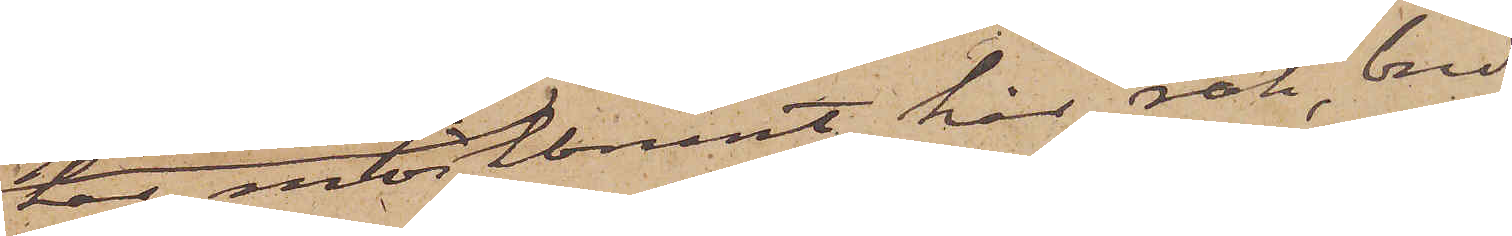har mörkbrunt hår, rak, bred
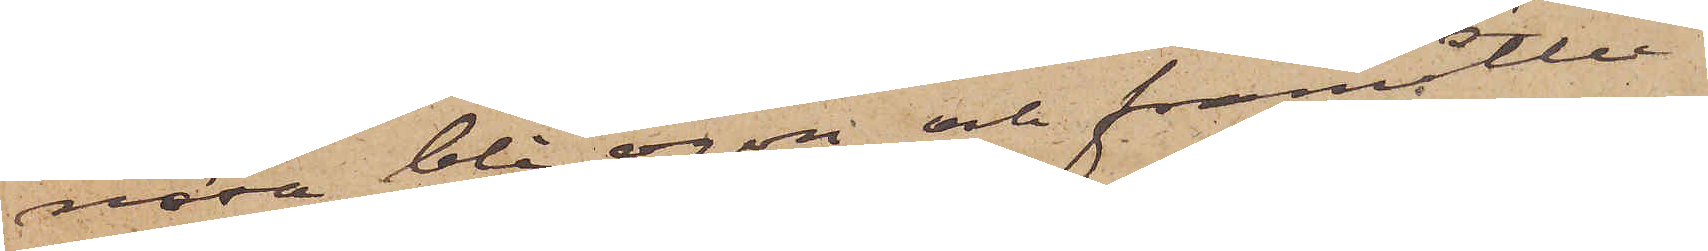näsa, blå ögon och framåtlu¬
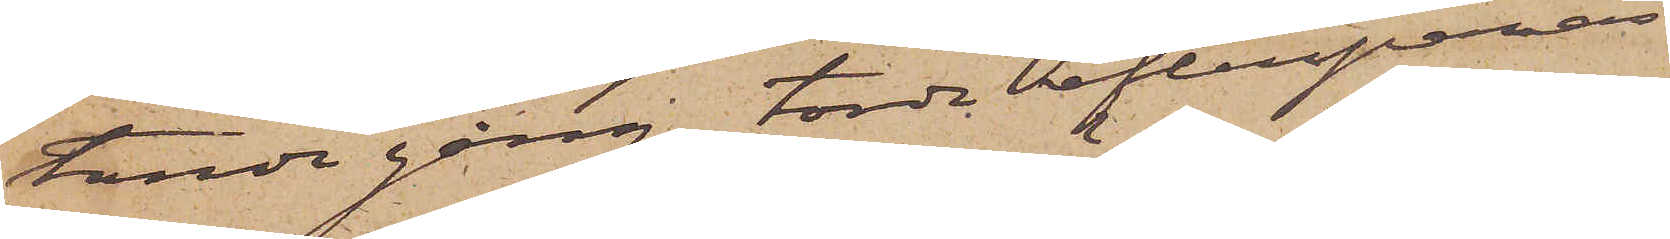tande gång, torde eftersparas
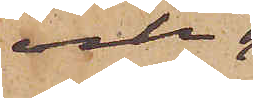och,
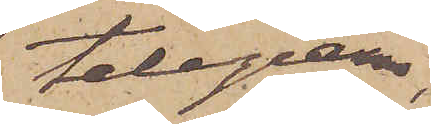telegram,
